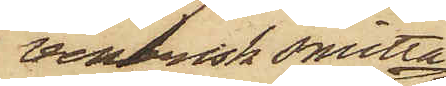venerisk smitta
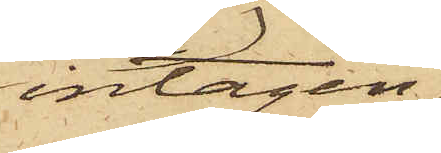intagen
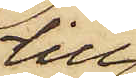till
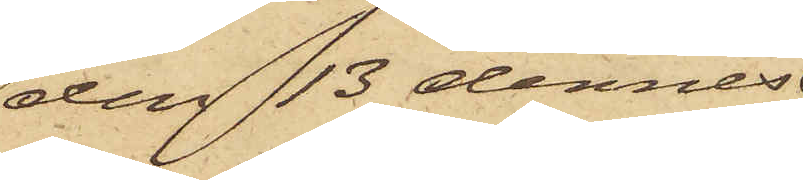den 13 dennes
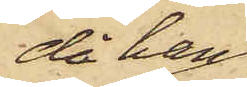då han
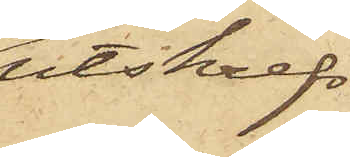utskrefs
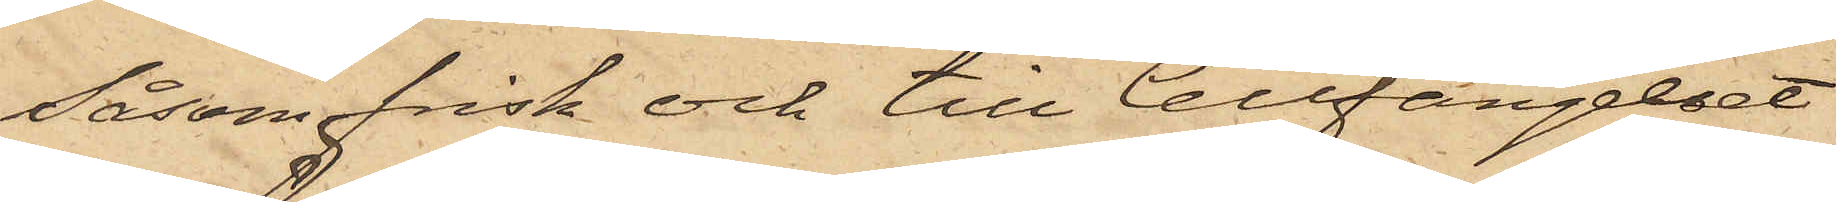såsom frisk och till Cellfängelset
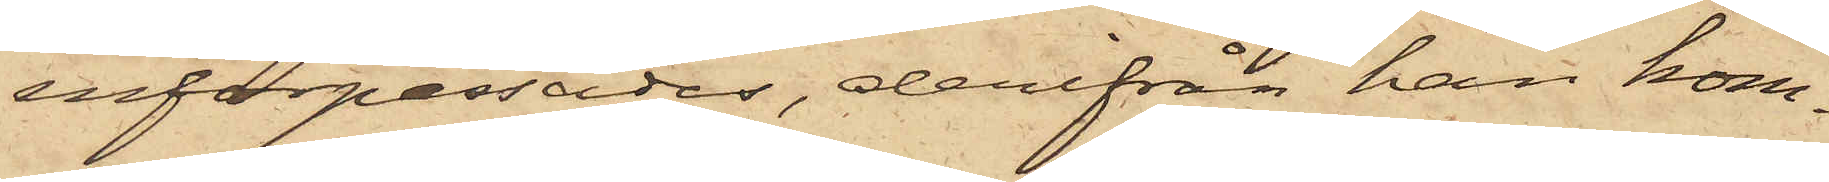införpassades, derifrån han kom¬
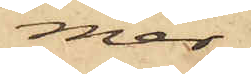mer
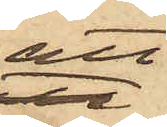att
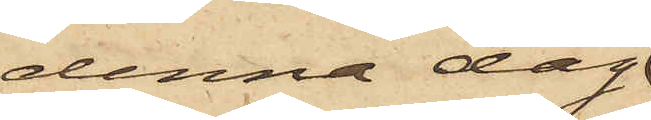denna dag
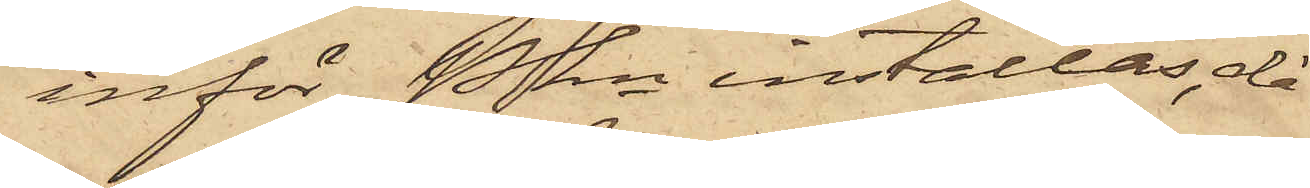inför Pkn inställas, då
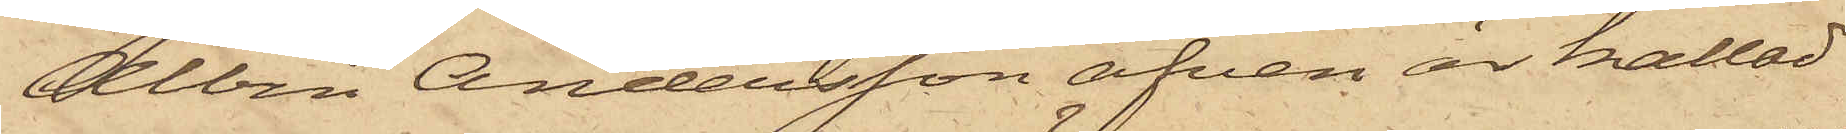Albin Andersson äfven är kallad
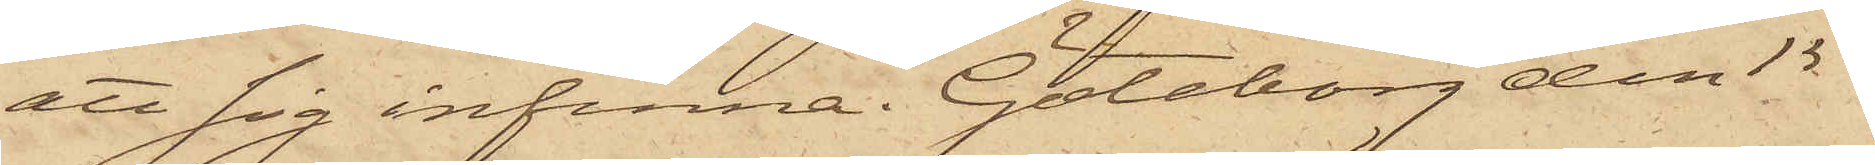att sig infinna. Göteborg den 15
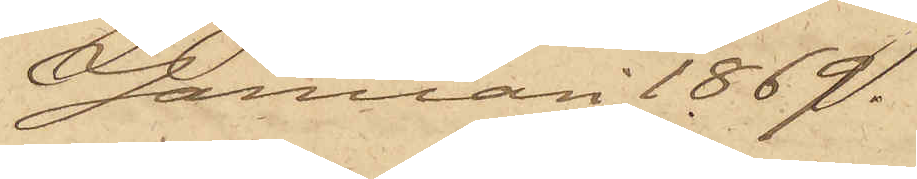Januari 1869.
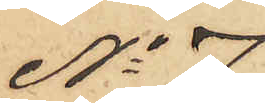No 7
